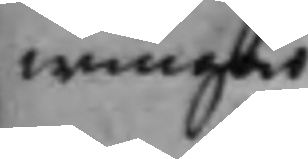wingar
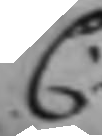C:
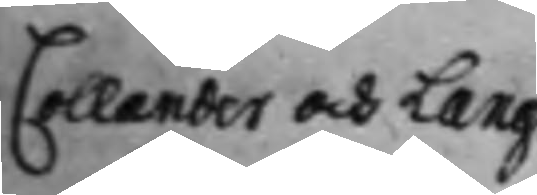Collander och Lang¬
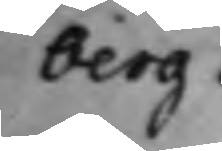berg.
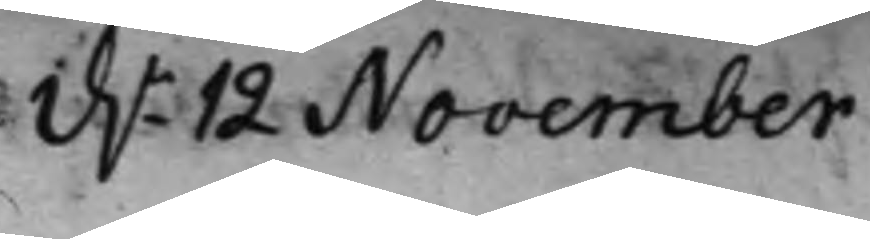d.n 12 November
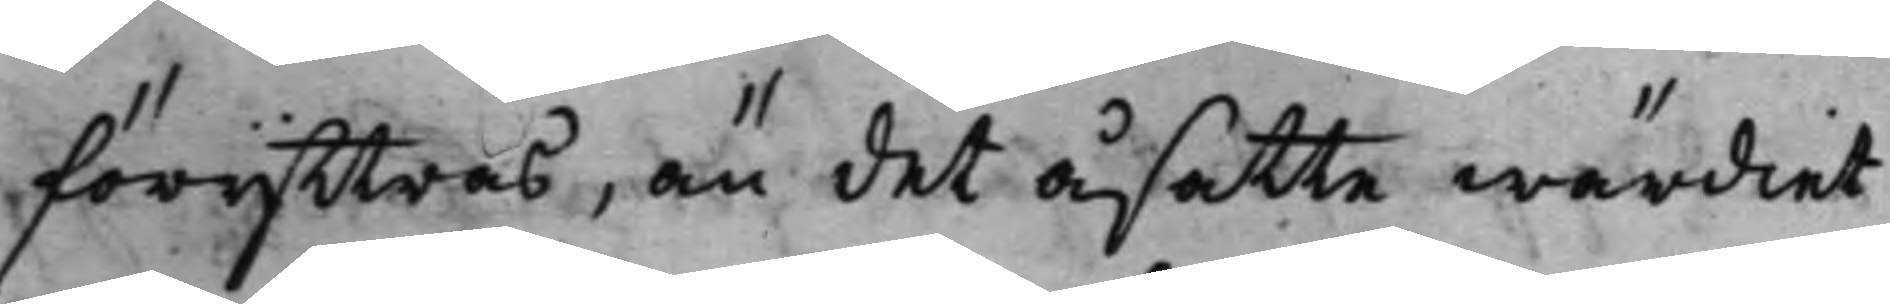föryttras, än det åsatte wärdiet
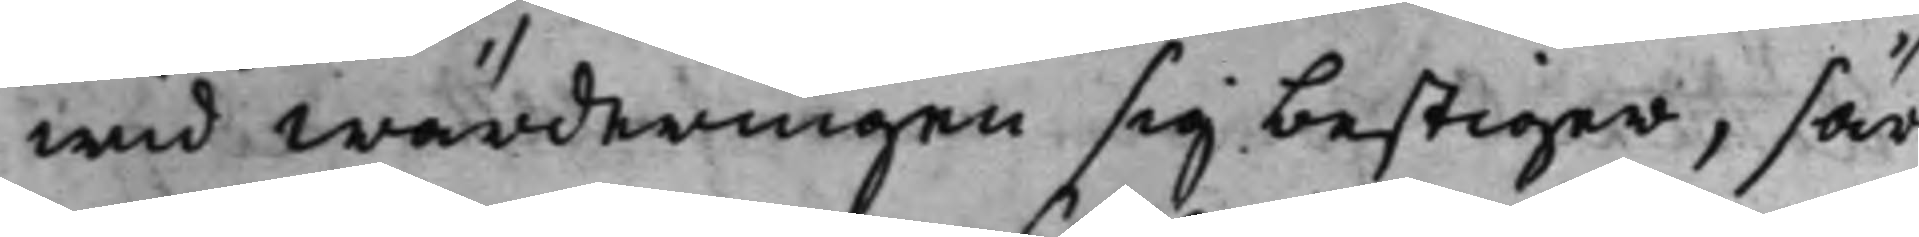wid wärderingen sig bestiger, sär¬
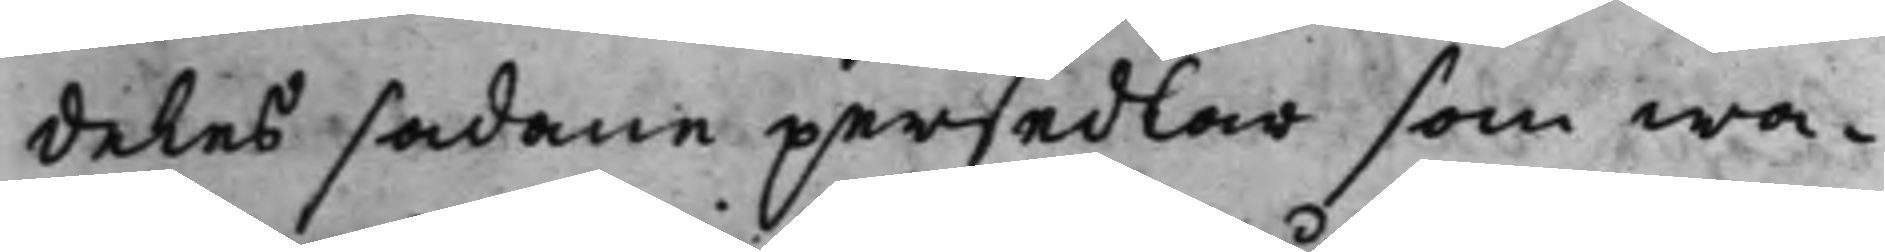deles sådane persedlar som wa¬
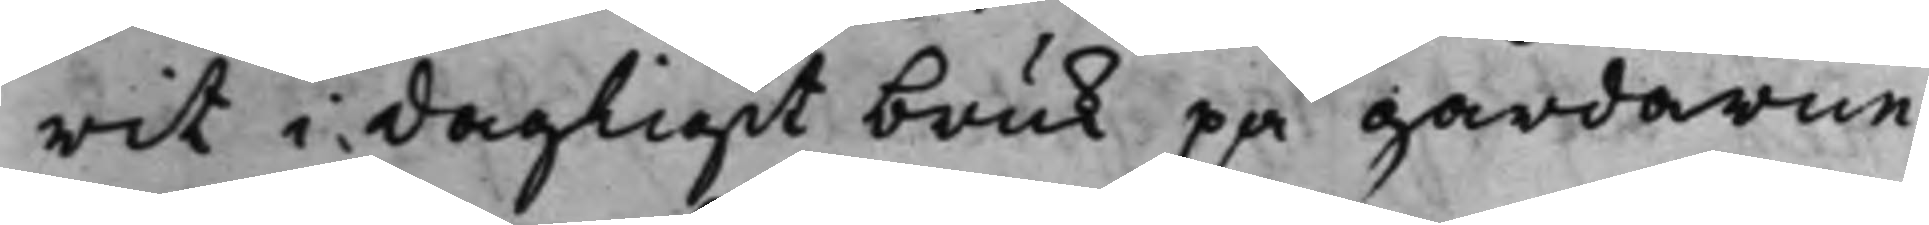rit i dagligit bruk på gårdarne
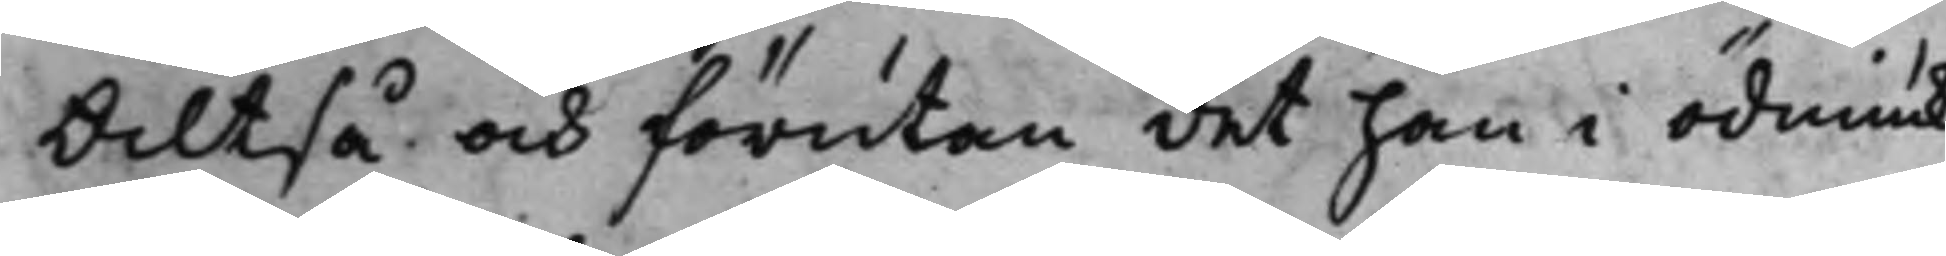Altså och förutan det han i ödmiuk¬
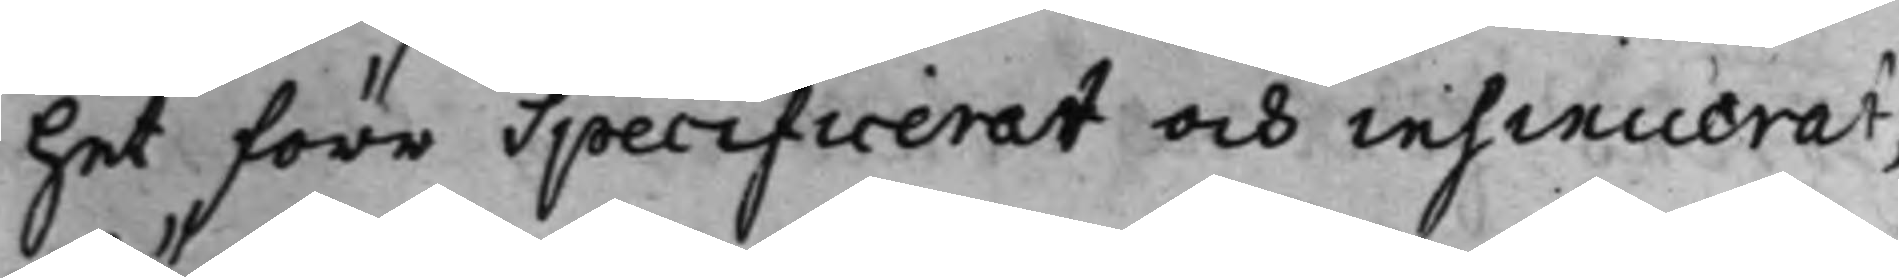het förr Specificerat och insinuerat,
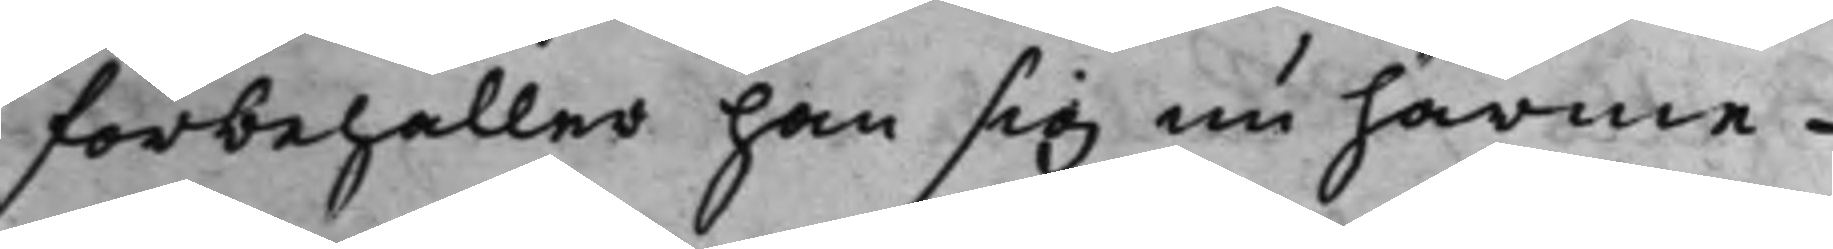förbehåller han sig nu härme¬
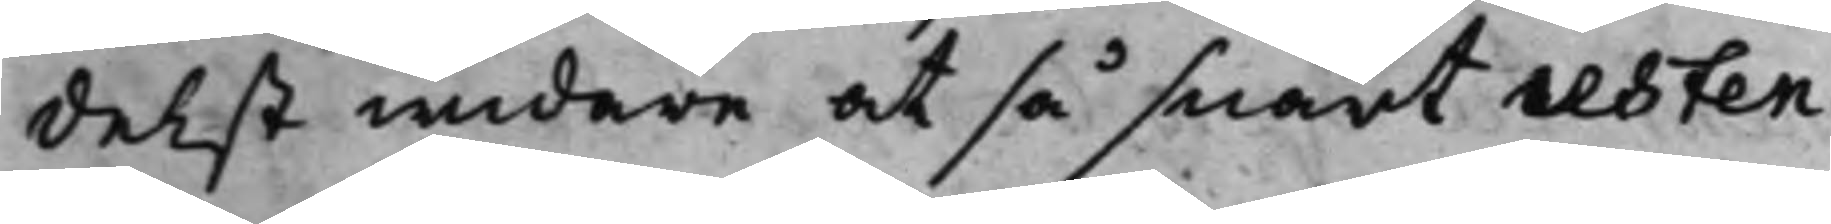delst widare at så snart resten
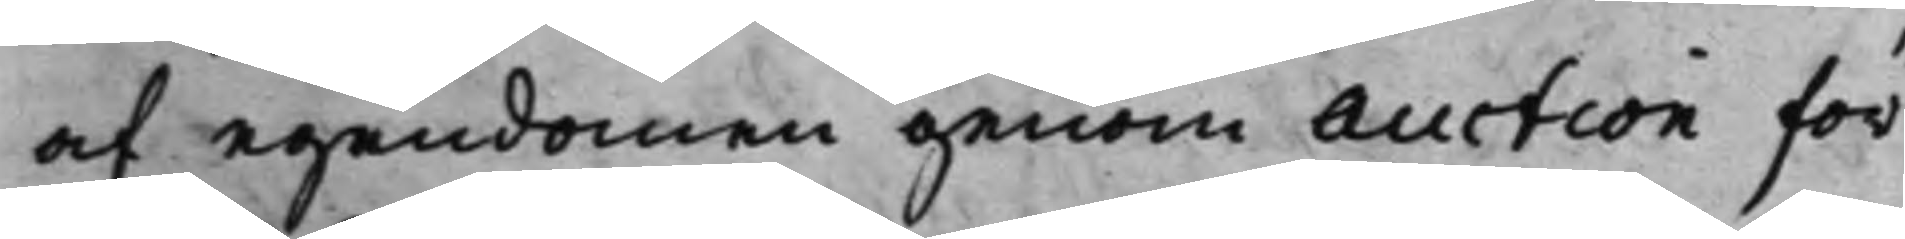af egendomen genom auction för¬
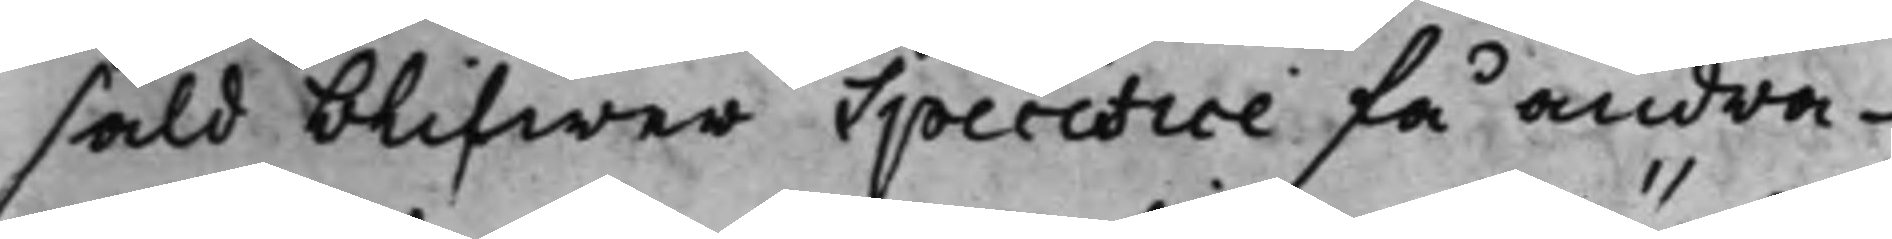såld blifwer Specifice få andra¬
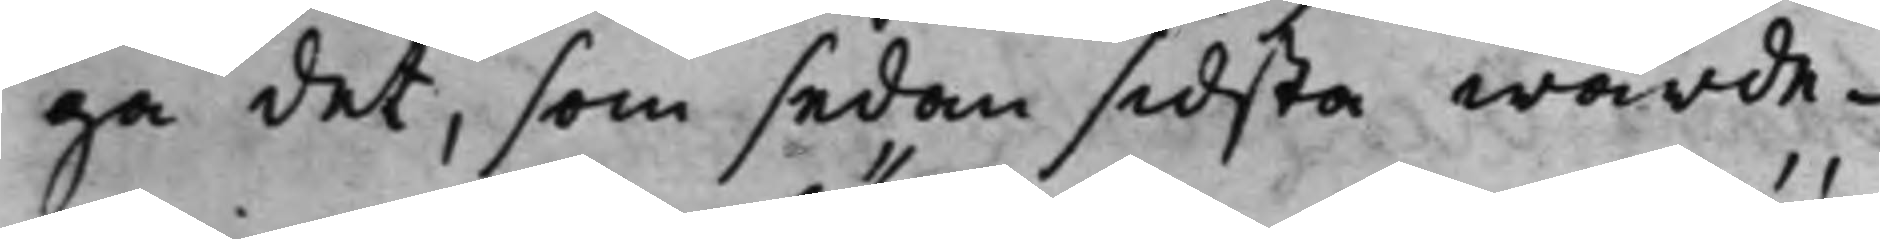ga det, som sedan sidsta wärde¬
